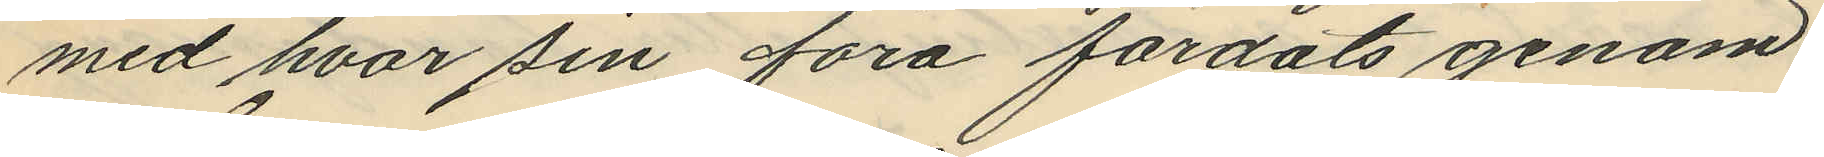med hvar sin fora färdats genom
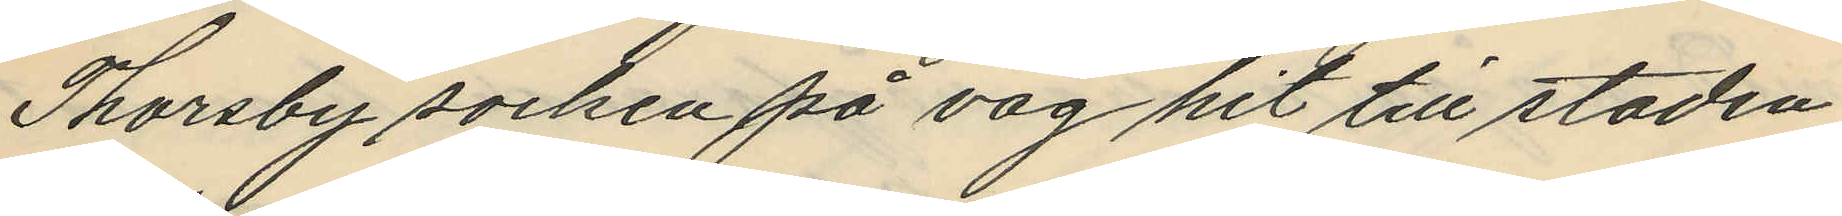Thorsby socken på väg hit till staden
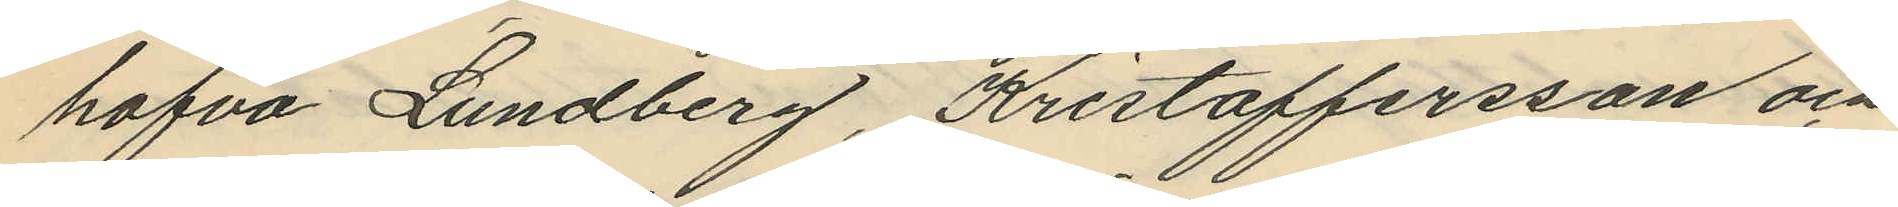hafva Lundberg, Kristoffersson och
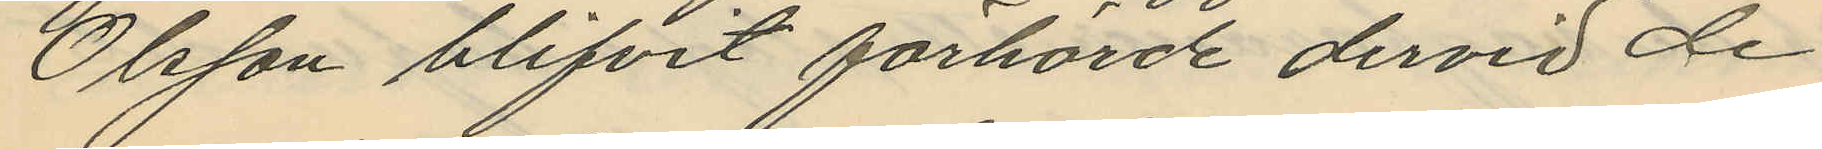Olsson blifvit förhörde dervid de
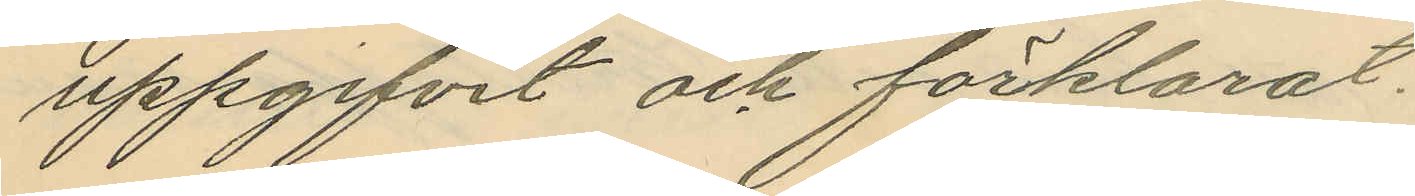uppgifvit och förklarat.
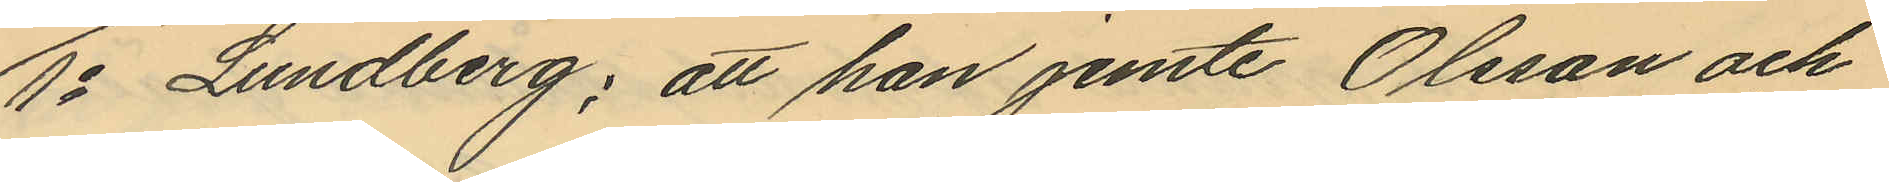1o Lundberg; att han jemte Olsson och
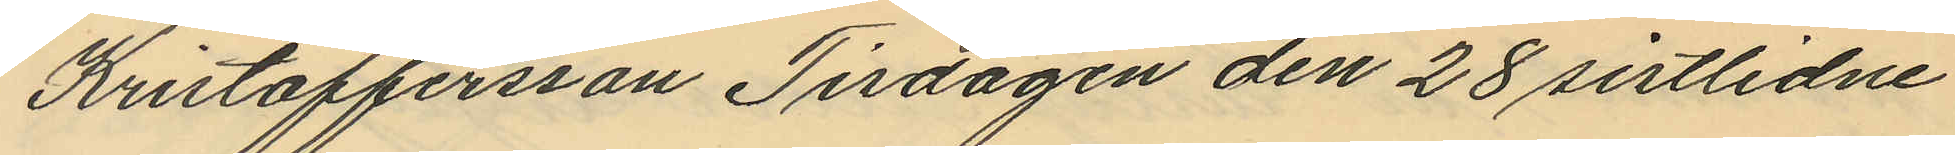Kristoffersson Tisdagen den 28 sistlidne
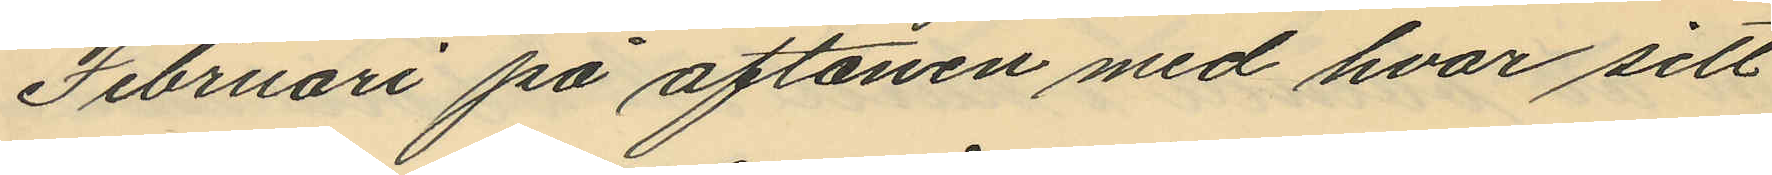Februari på aftonen med hvar sitt
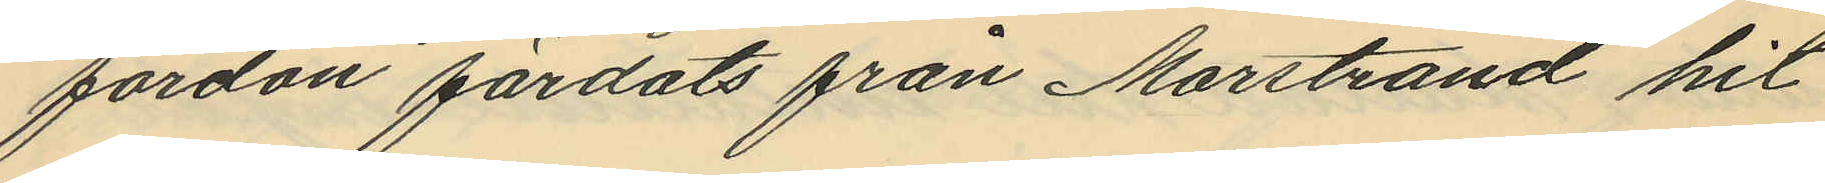fordon färdats från Marstrand hit
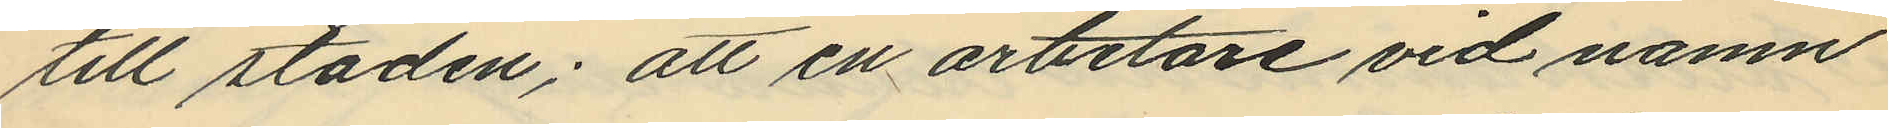till staden; att en arbetare vid namn
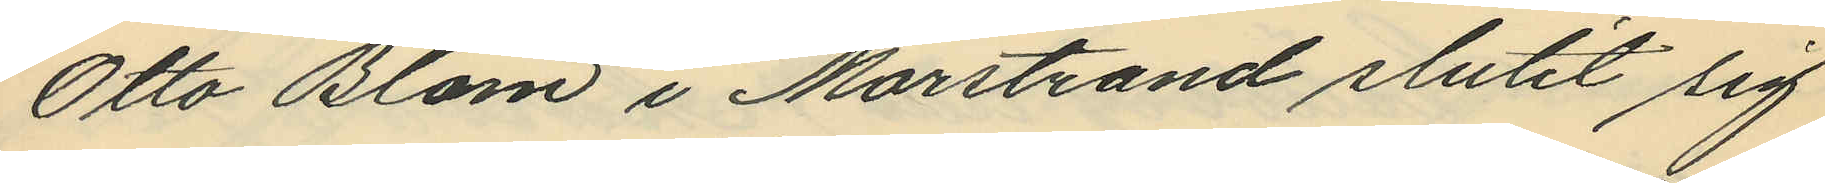Otto Blom i Marstrand slutit sig
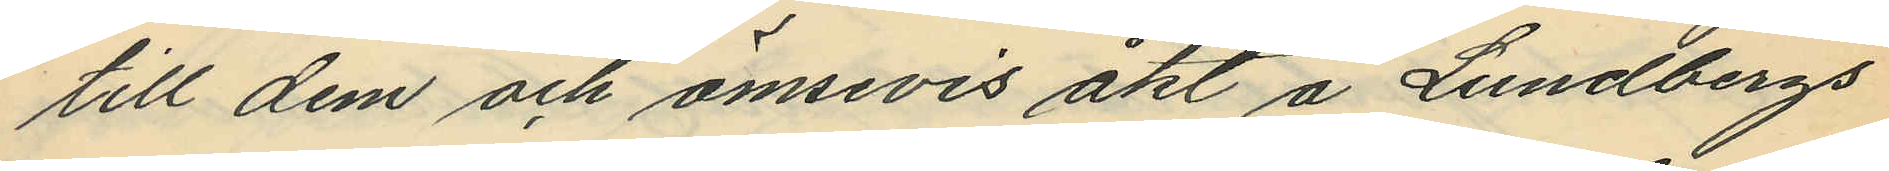till dem och ömsevis åkt å Lundbergs
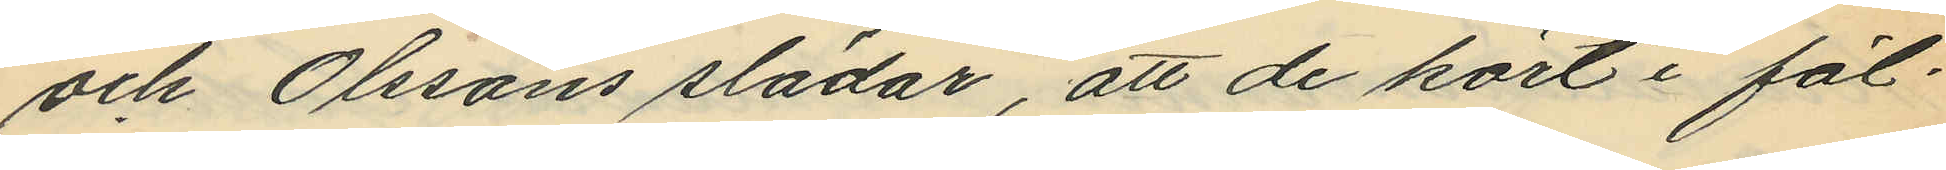och Olssons slädar, att de kört i föl¬
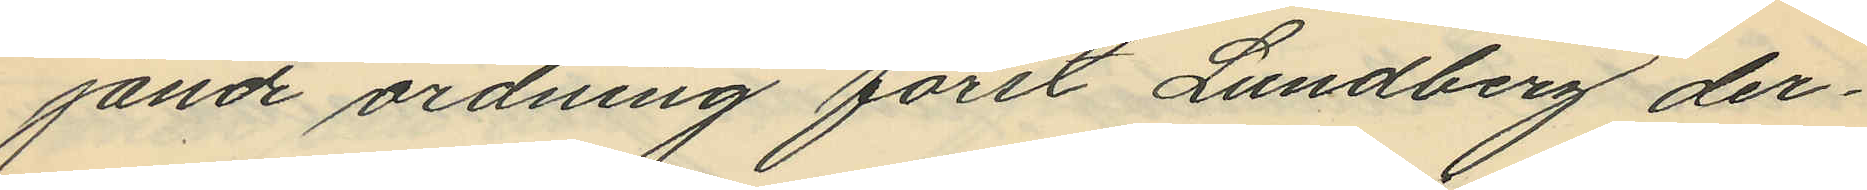jande ordning först Lundberg der¬
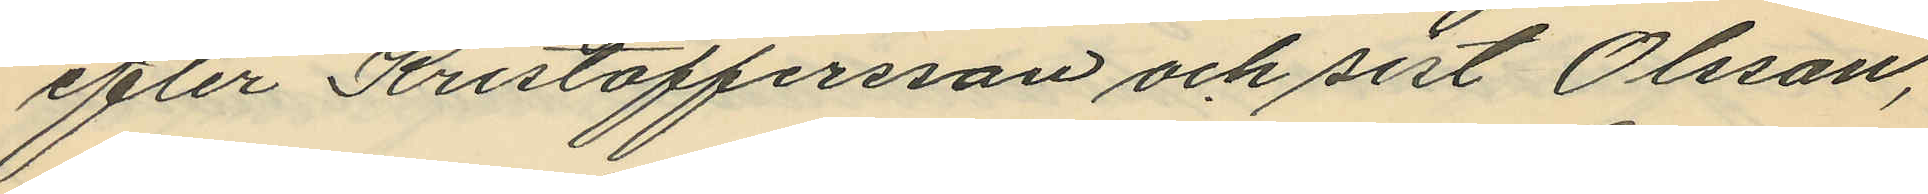efter Kristoffersson och sist Olsson,
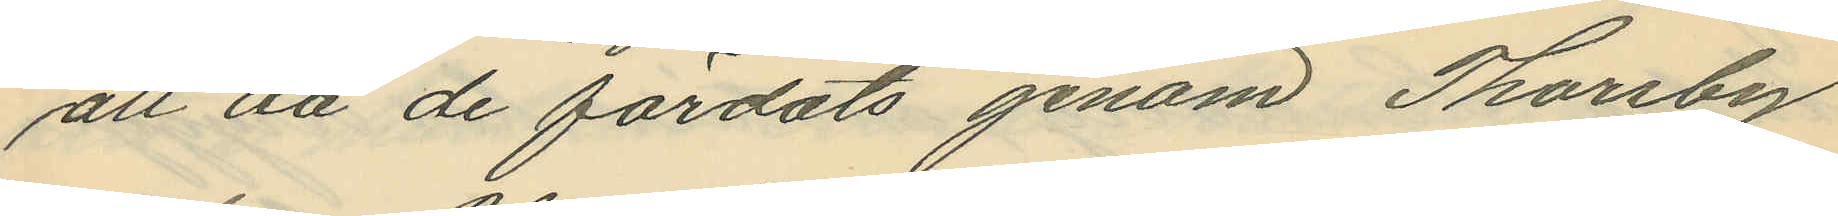att då de färdats genom Thorsby
